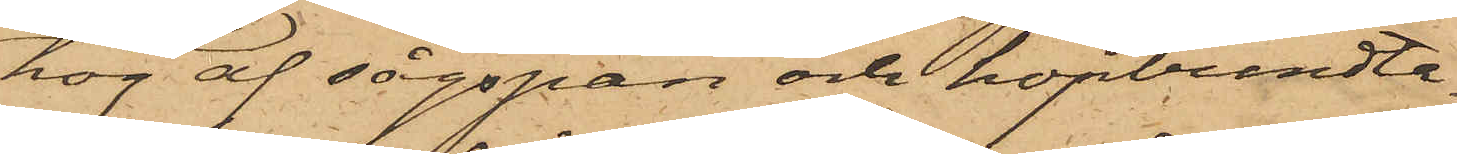hög af sågspån och hopbundta¬
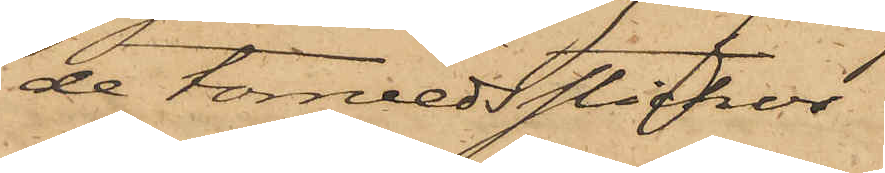de torrvedsstickor,
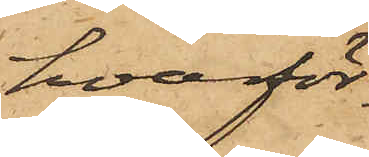hvarför¬
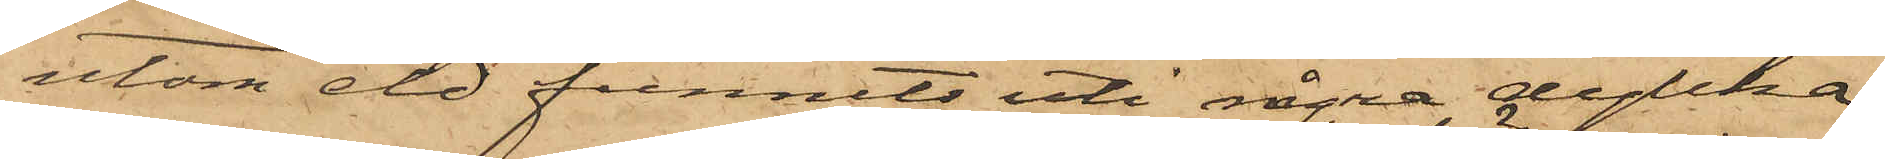utom eld funnits uti några dylika
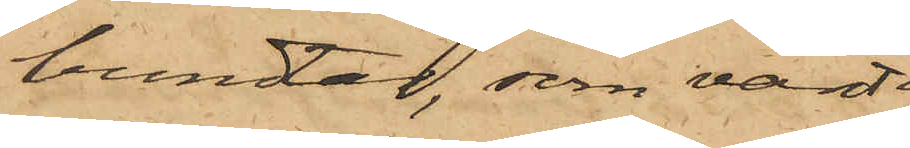bundtar, som varit
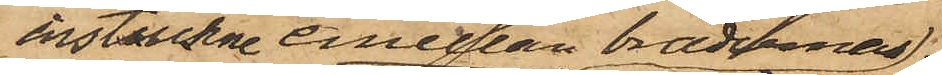instuckne emellan bräderna
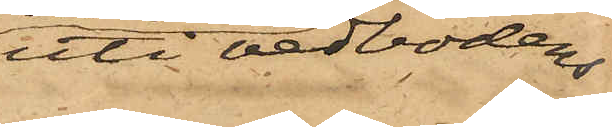uti vedbodens
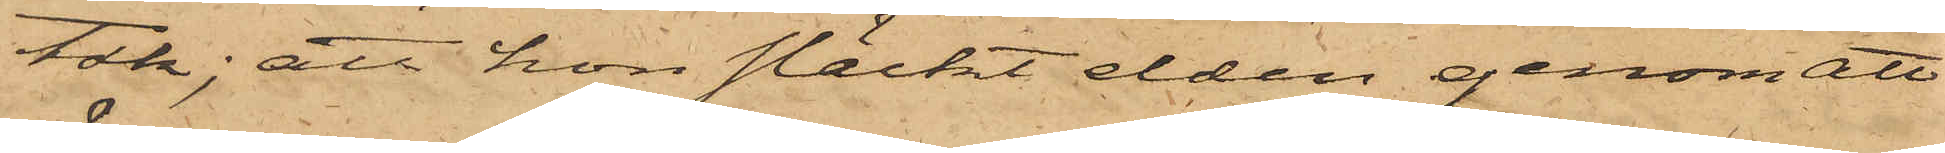tak; att hon släckt elden genom att
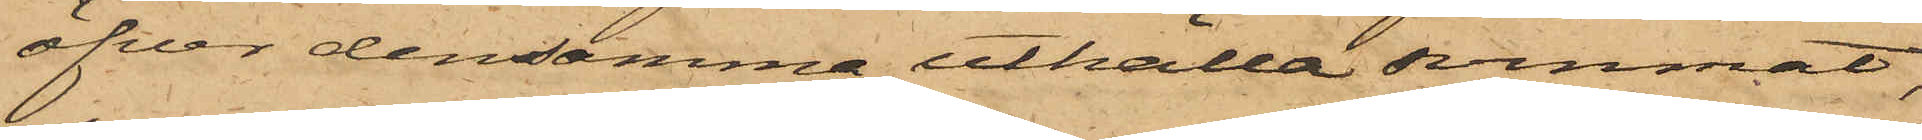öfver densamma uthälla svinmat,
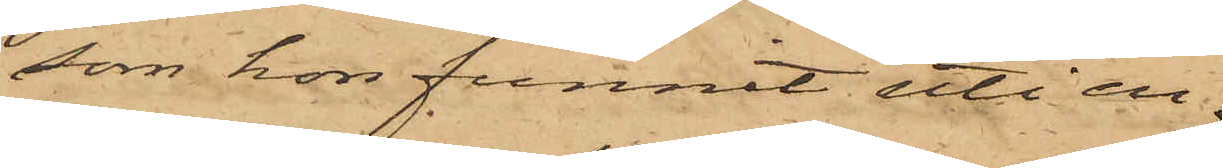som hon funnit uti en
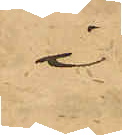i
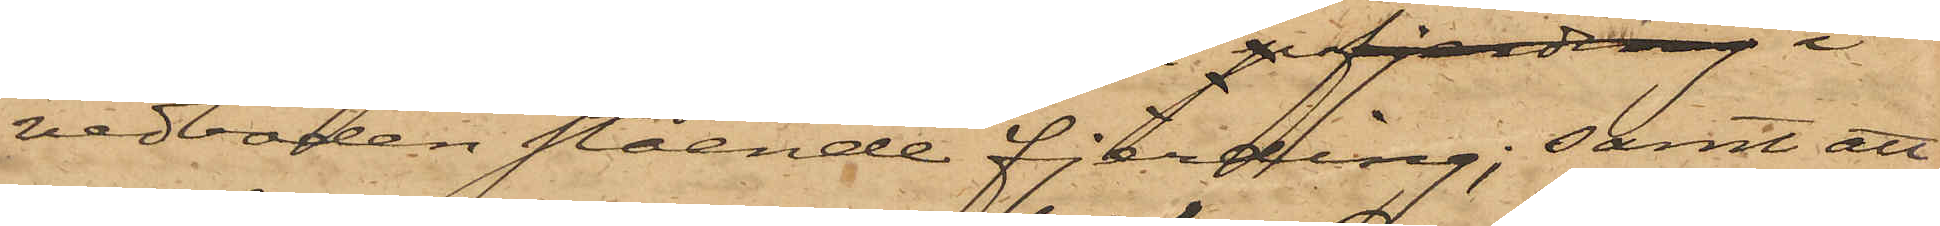vedboden stående fjerding; samt att
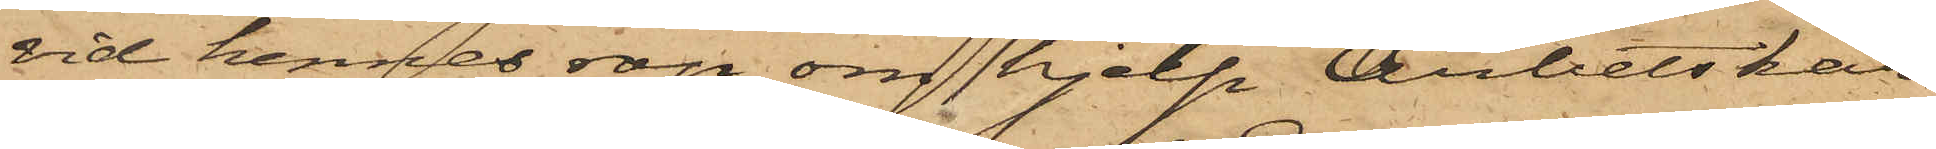vid hennes rop om hjelp Arbetskar¬
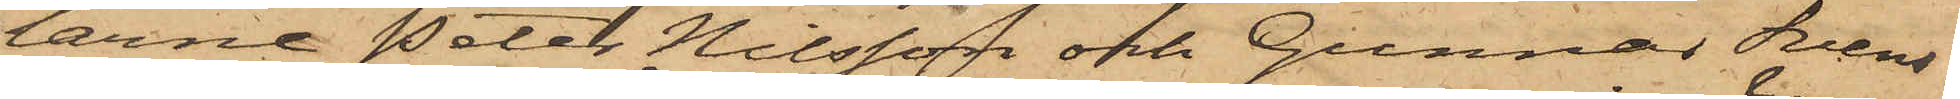larne Peter Nilsson ofh Gunnas Svens¬
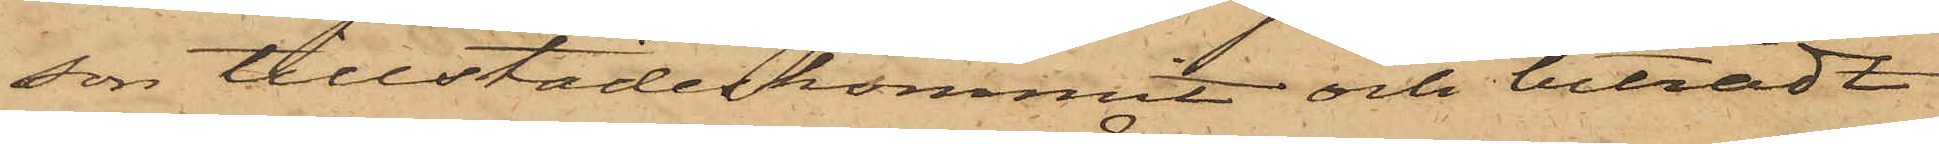son tillstädeskommit och biträdt
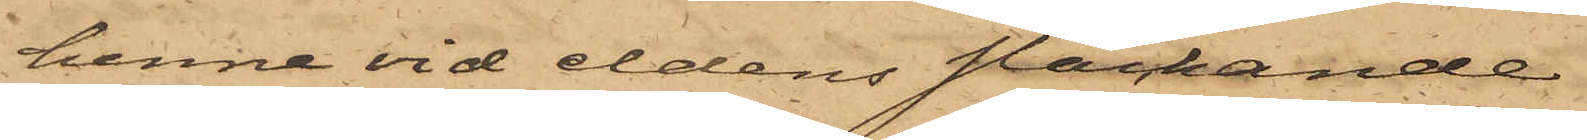henne vid eldens släckande.
